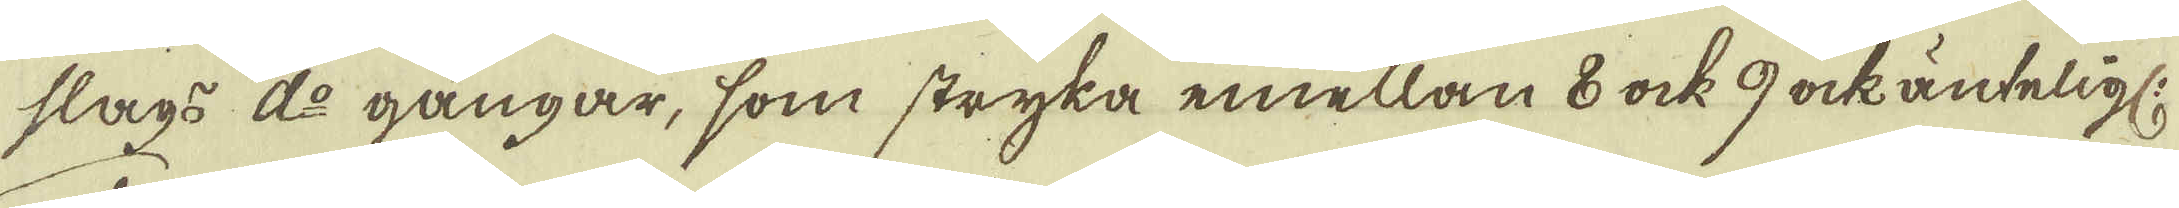slags d:o gångar, som stryka emellan 8 ock 9 ock änteligl:
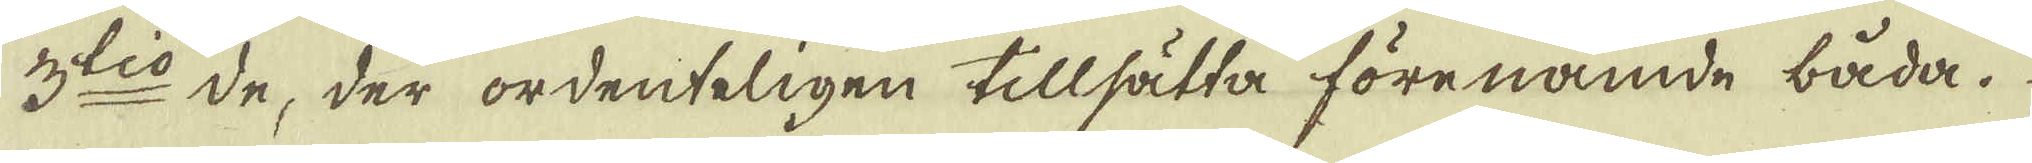3:tio de, der ordenteligen tillsätta förenämde båda.
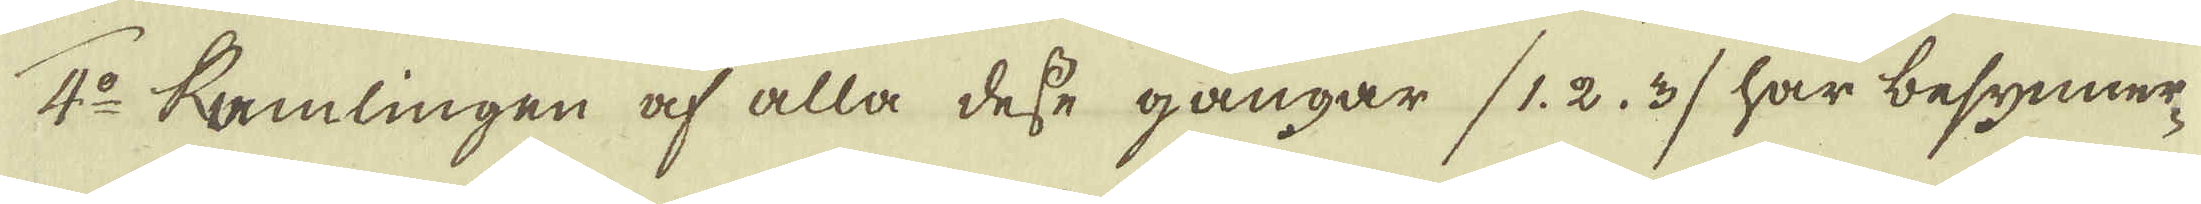4:o Samlingen af alla desse gångar (1. 2. 3) har besynner-
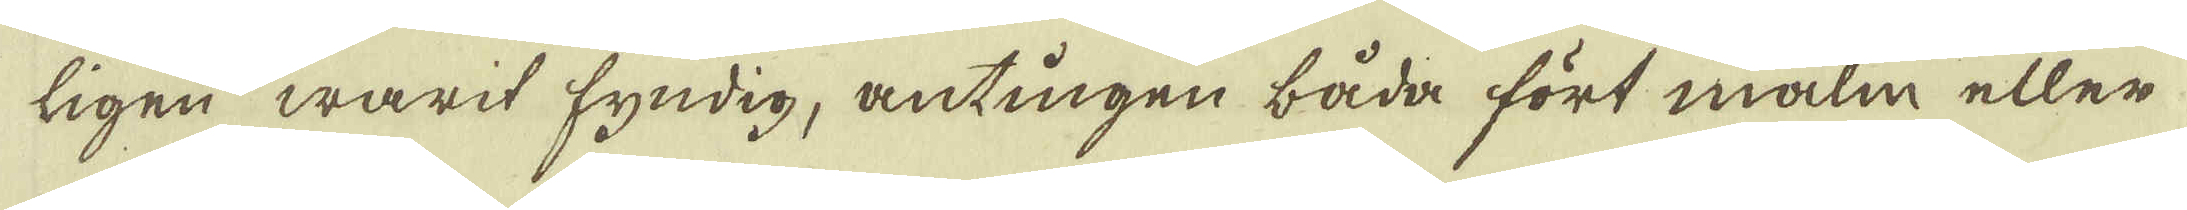ligen warit fyndig, antingen båda fört malm eller
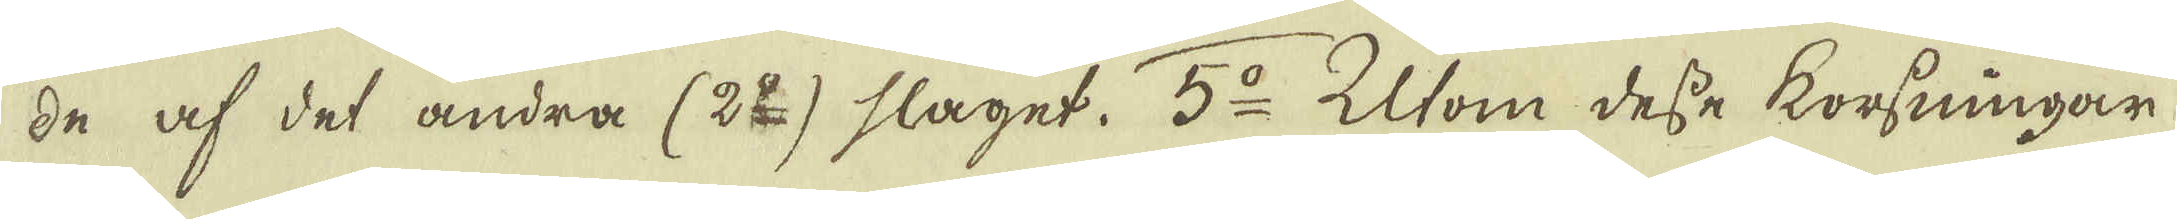de af det andra (2:o) slaget. 5:o Utom desse korsningar
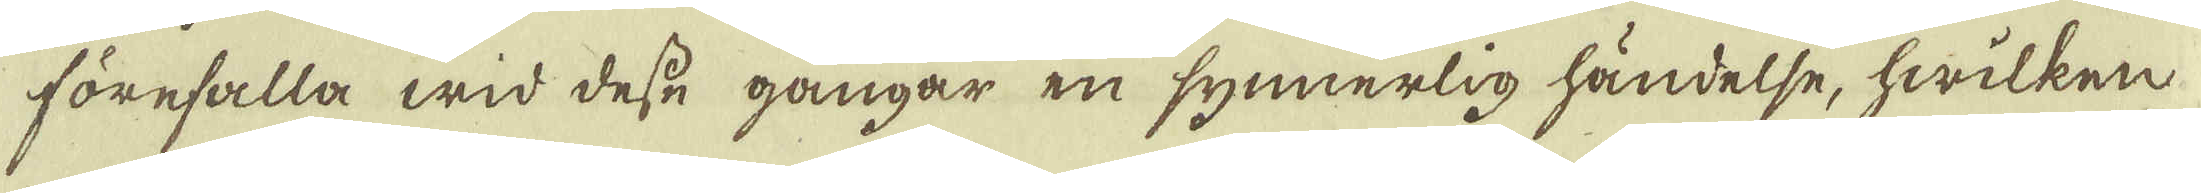förefalla wid desse gångar en synnerlig händelse, hwilken
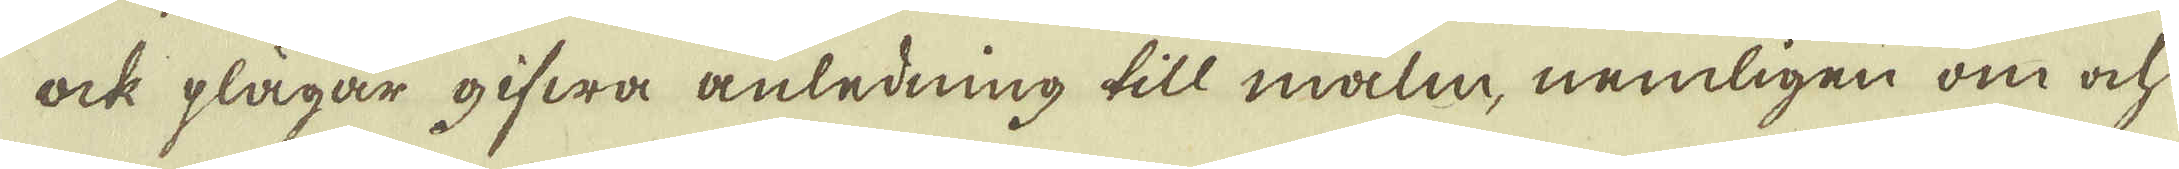ock plägar gifwa anledning till malm, nemligen om ock
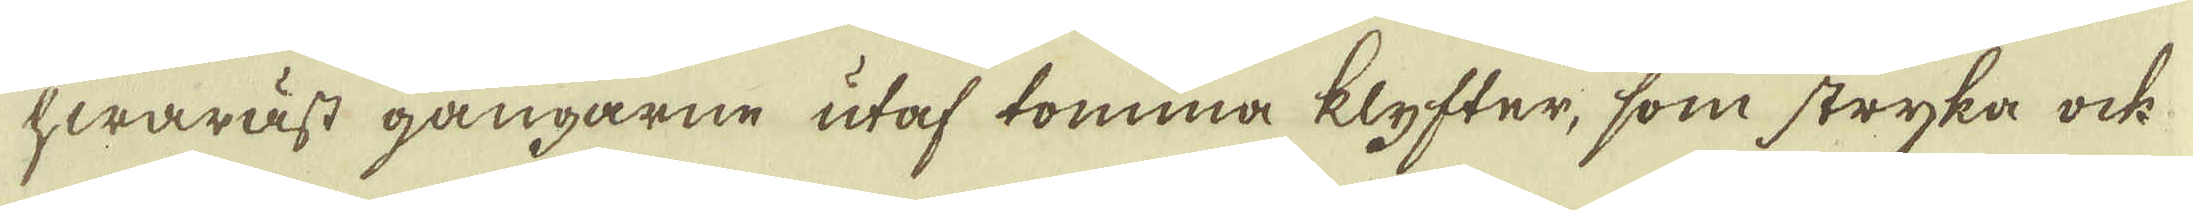hwaräst gångarne utaf tomma klyfter, som stryka ock
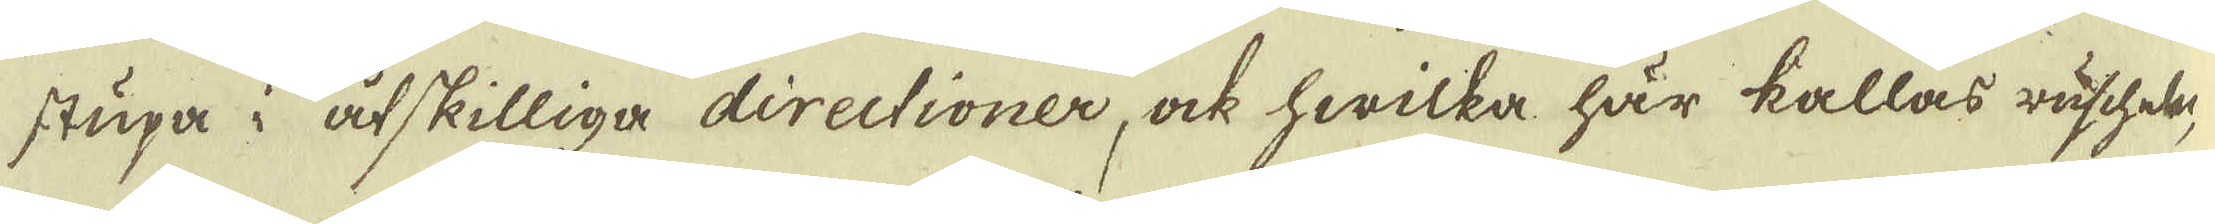stupa i åtskilliga directioner ock hwilka här kallas ruschter,
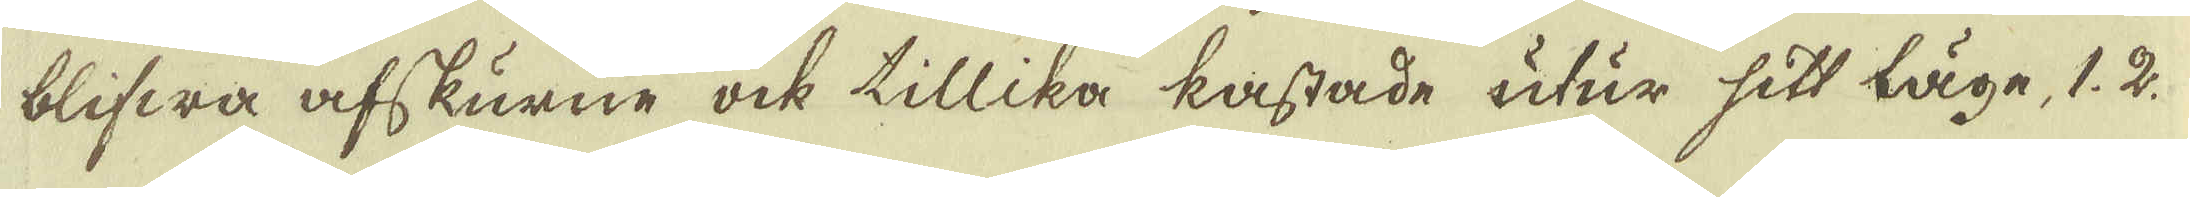blifwa afskurne ock tillika kastade utur sitt läge, 1. 2
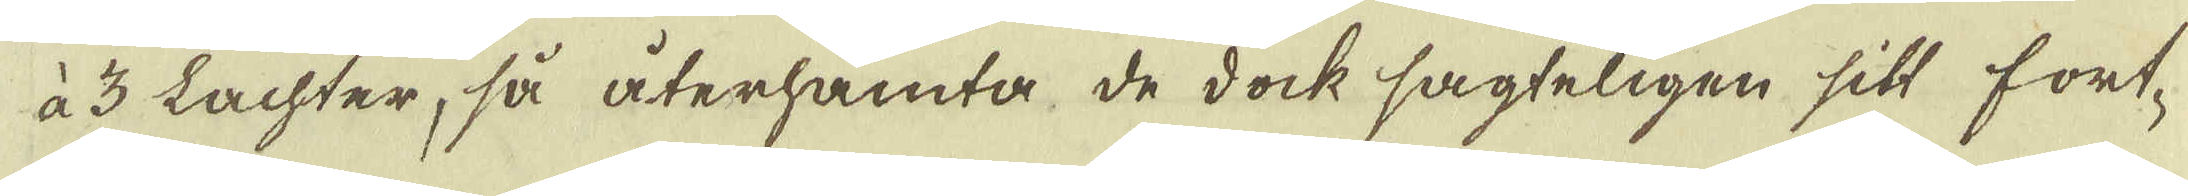à 3 Lachter, så återhämt, de dock sagteligen sitt fört-
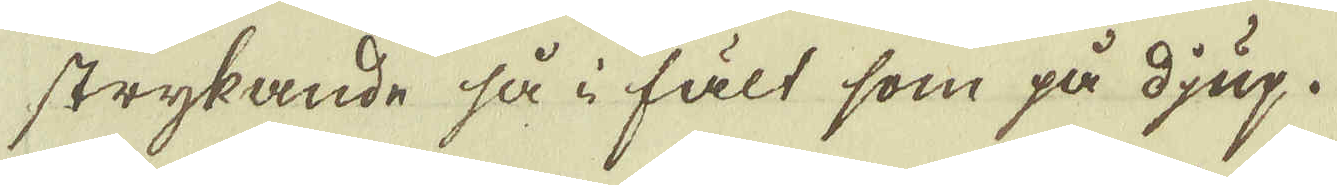strykande så i fält som på djup.
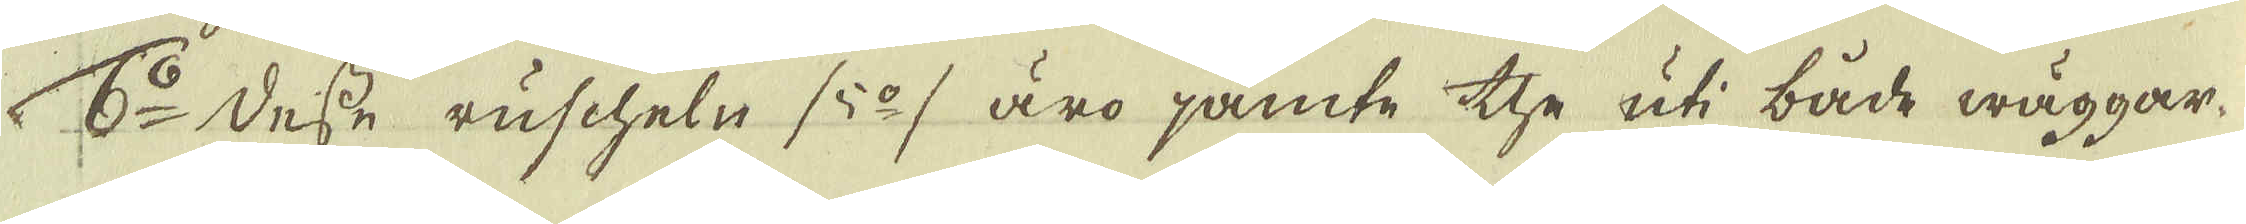6:o Desse ruscheln /5:o/ äro jämte the uti både wäggar
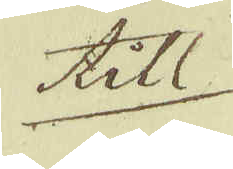till
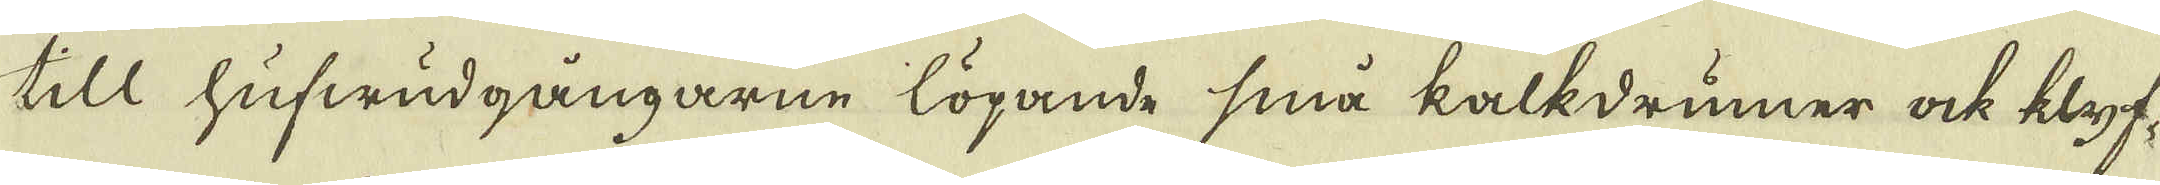till hufwudgångarne löpande små kalkdrumer ock klyf-
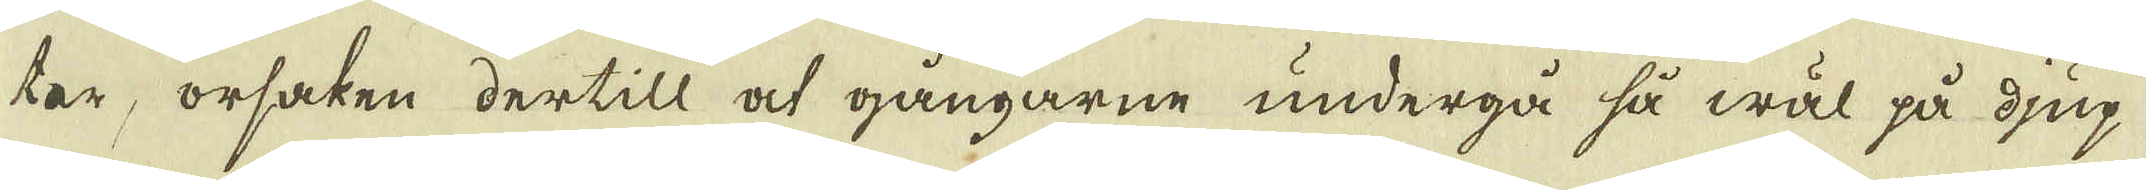ter, orsaken dertill at gångarne undergå så wäl på djup
